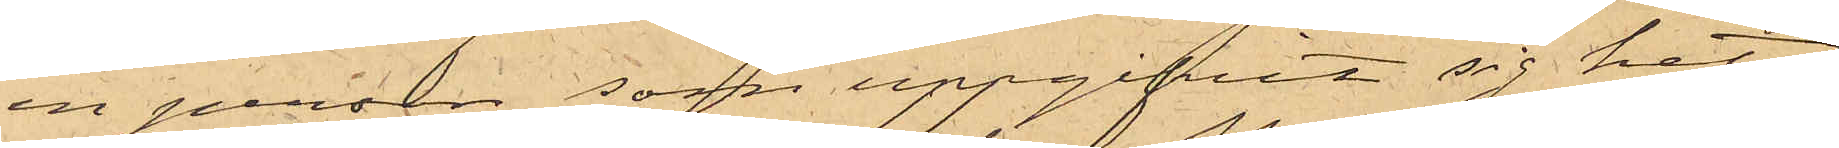en person, som uppgifvit sig heta
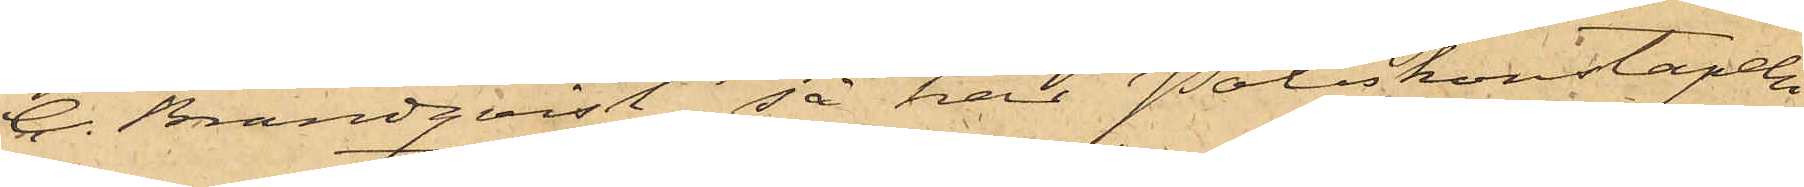C. Brandqvist, så har Poliskonstapeln
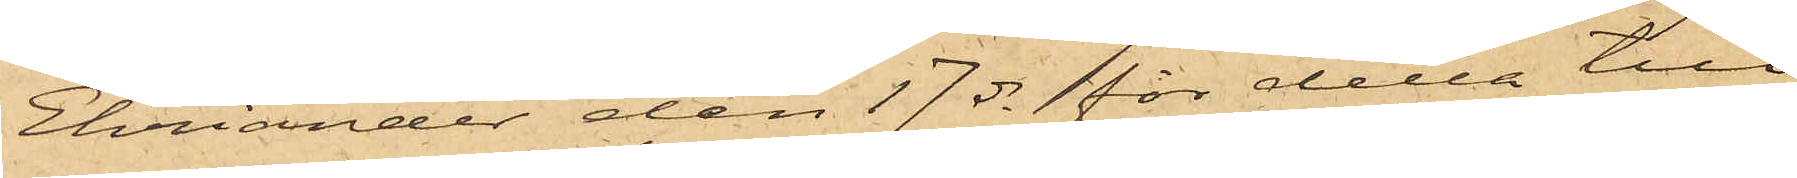Ehriander den 17 ds för detta till¬
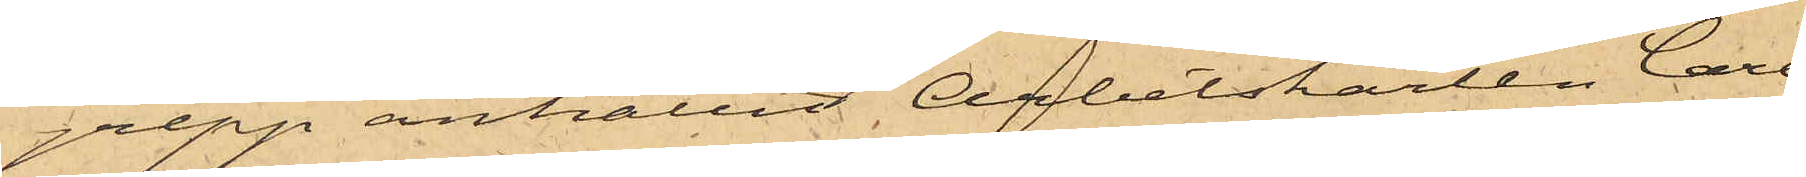grepp anhållit Arbetskarlen Carl
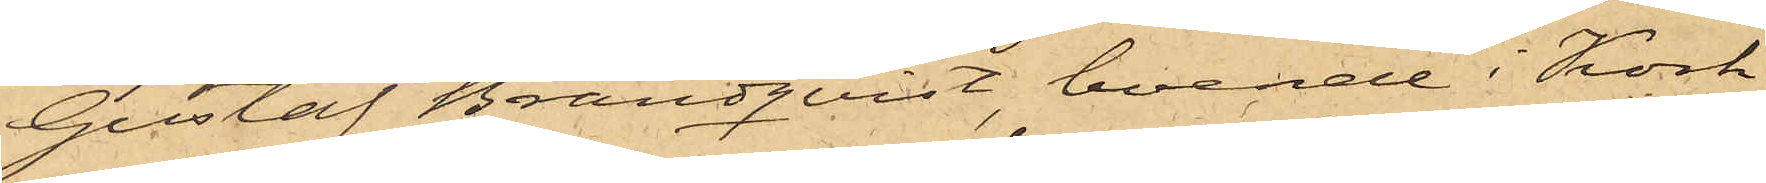Gustaf Brandqvist, boende i Kork¬
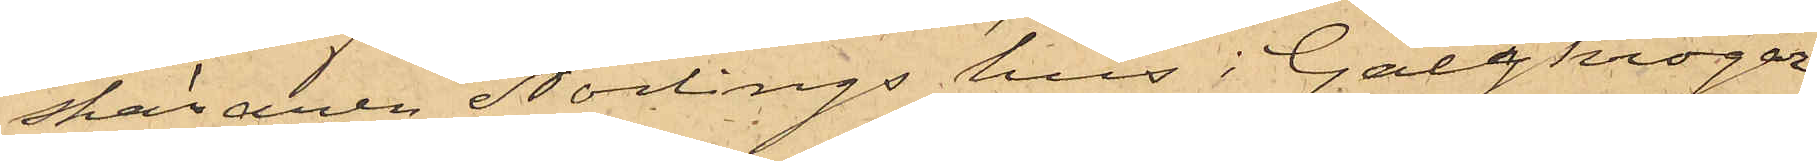skäraren Norlings hus i Galgkrogar¬
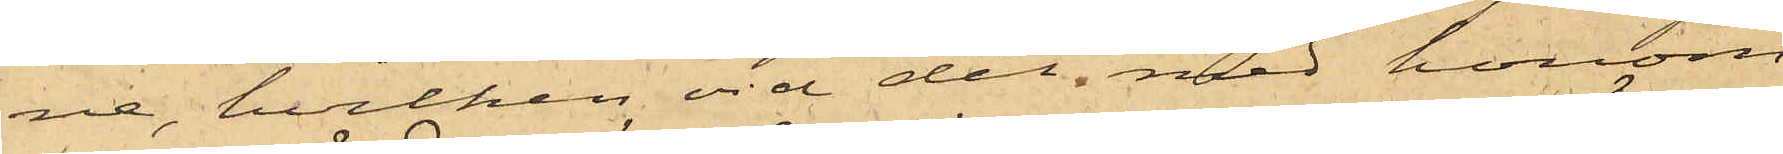ne, hvilken vid det med honom
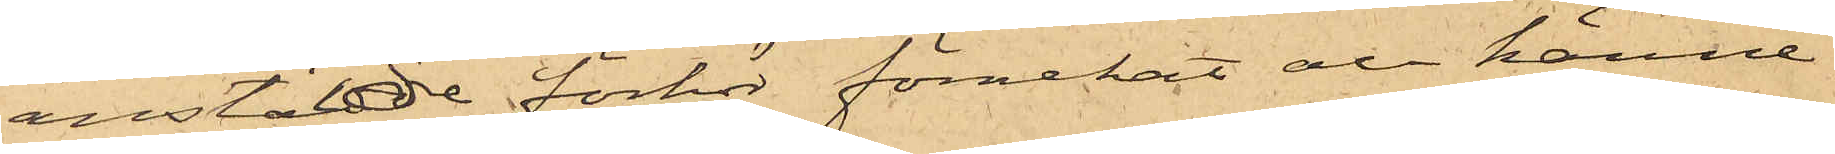anstälde förhör förnekat all känne¬
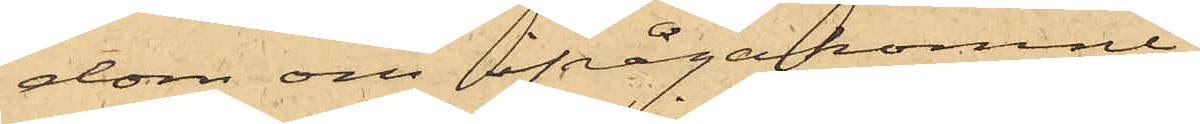dom om ifrågakomne
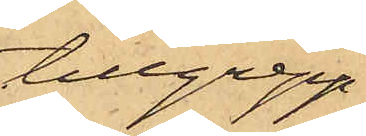tillgrepp,
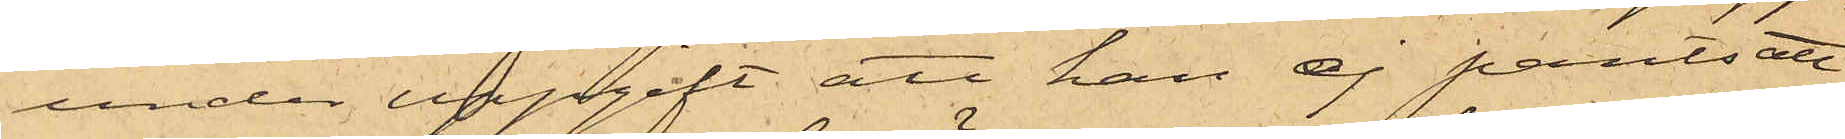under uppgift att han ej pantsatt
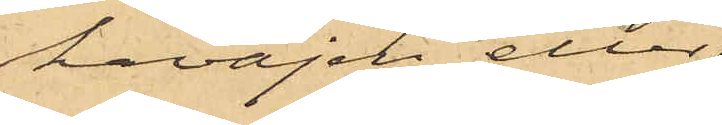kavajen eller
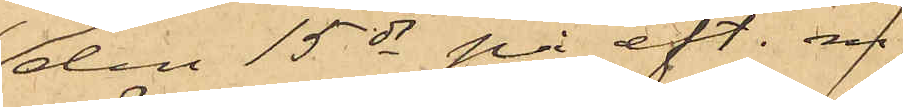den 15 ds på eft. m.
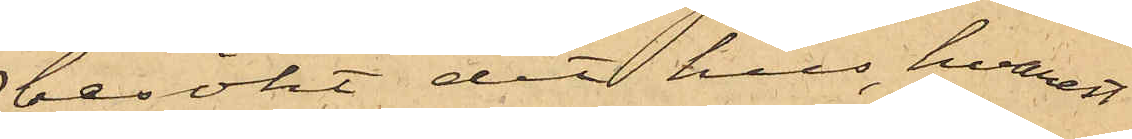besökt det hus, hvarest
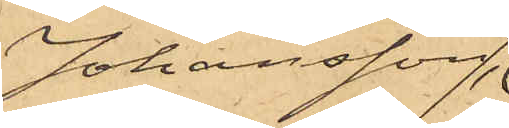Johansson
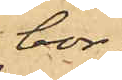bor;
